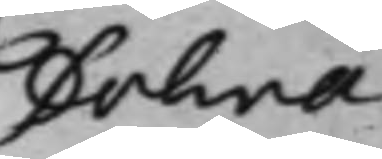Dohna
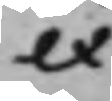ex
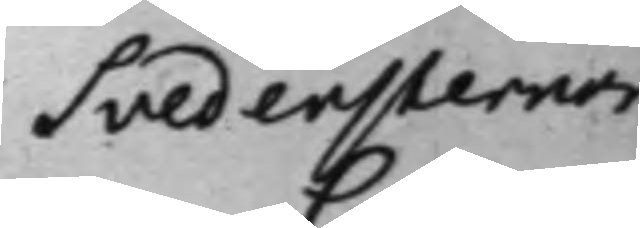Svedensternor
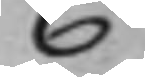C:
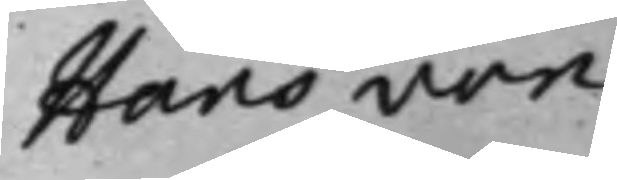Hans von
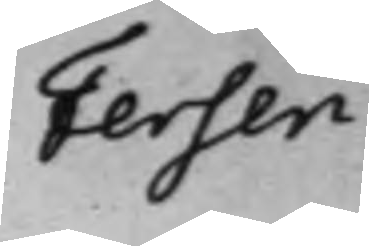Fersen.
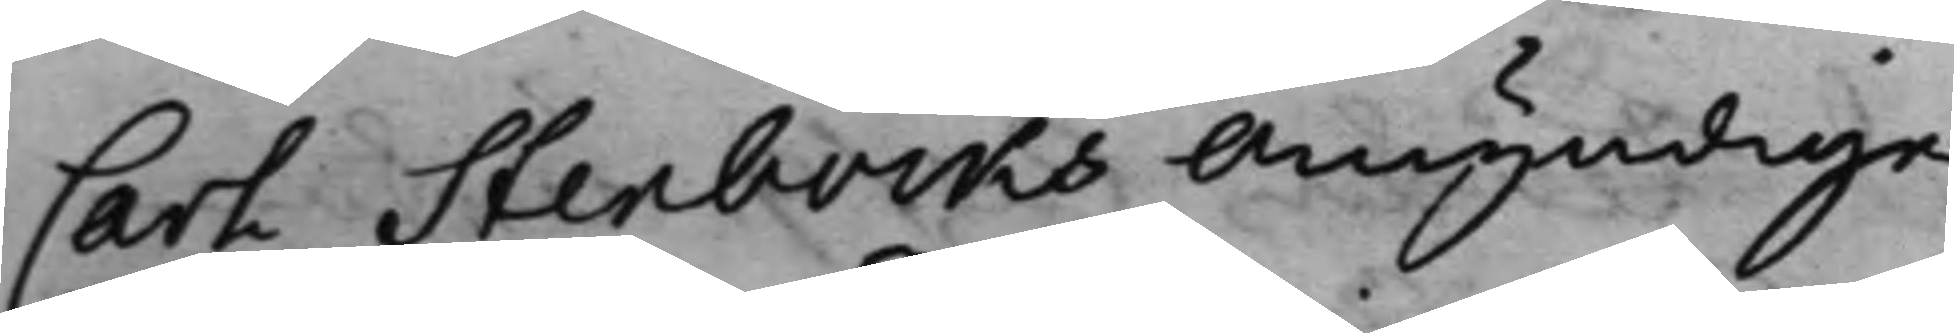Carl Stenbocks Omyndige
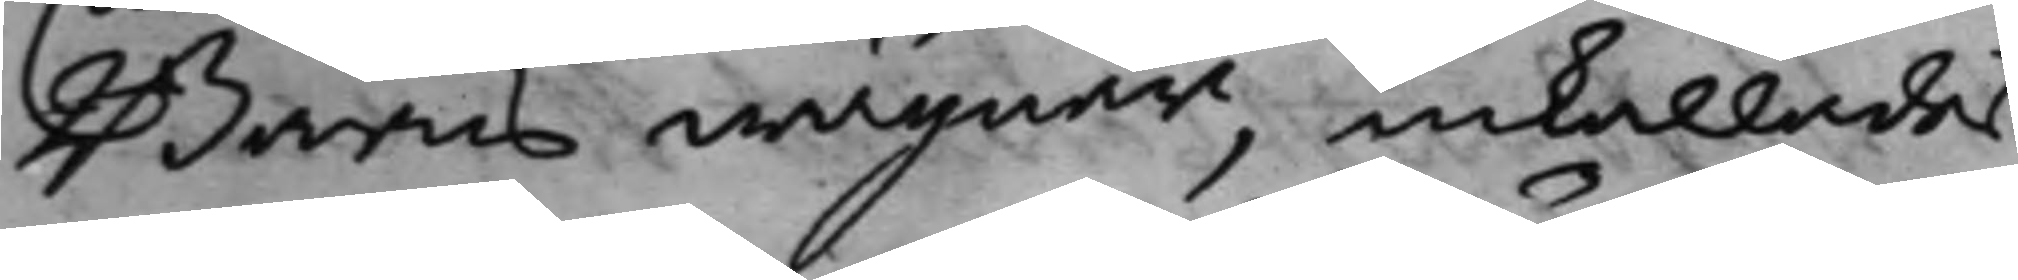Barns wägnar, inkallades
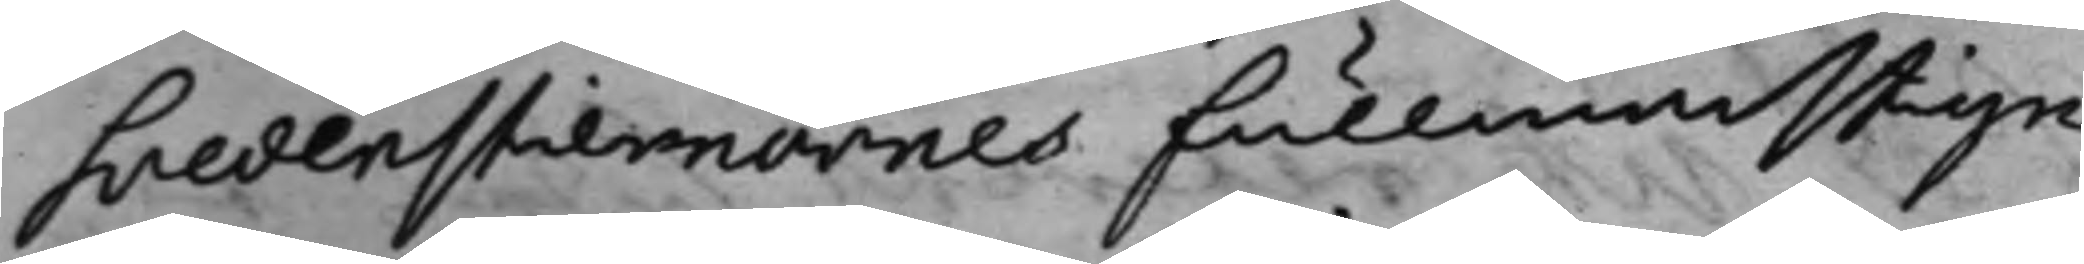Svedenstiernornes fullmächtige
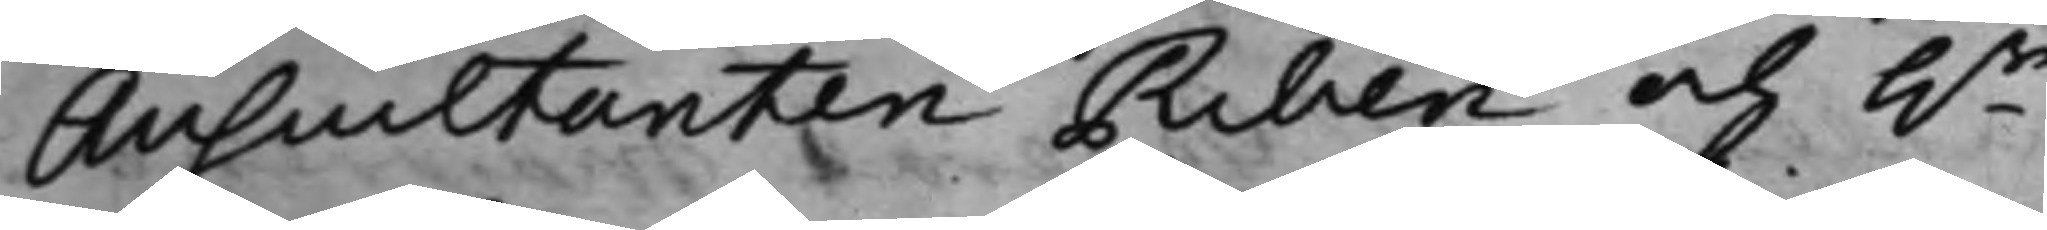Auscultanten Riben och h.r
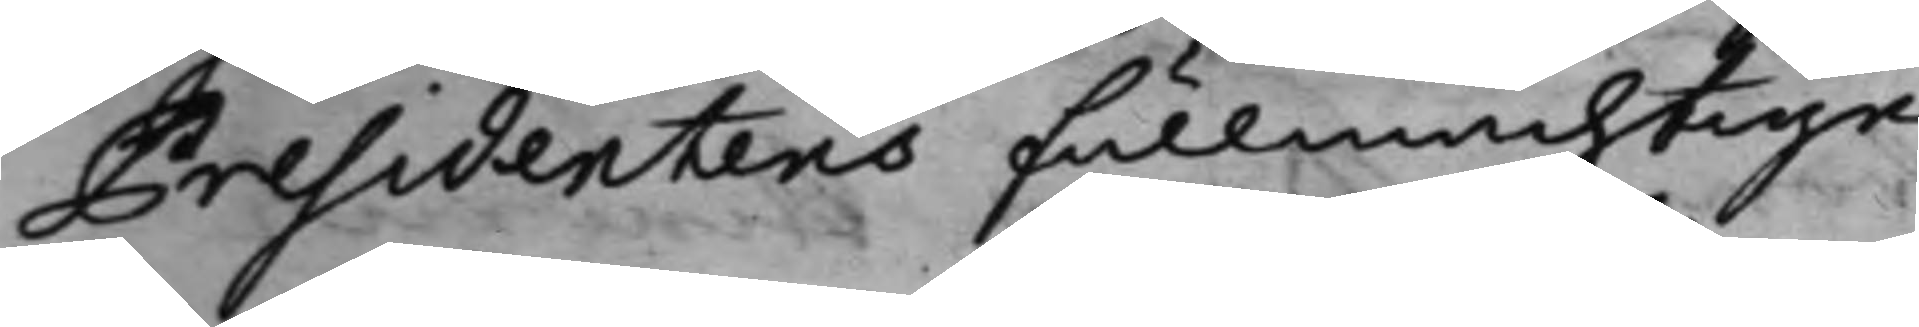Presidentens fullmächtige
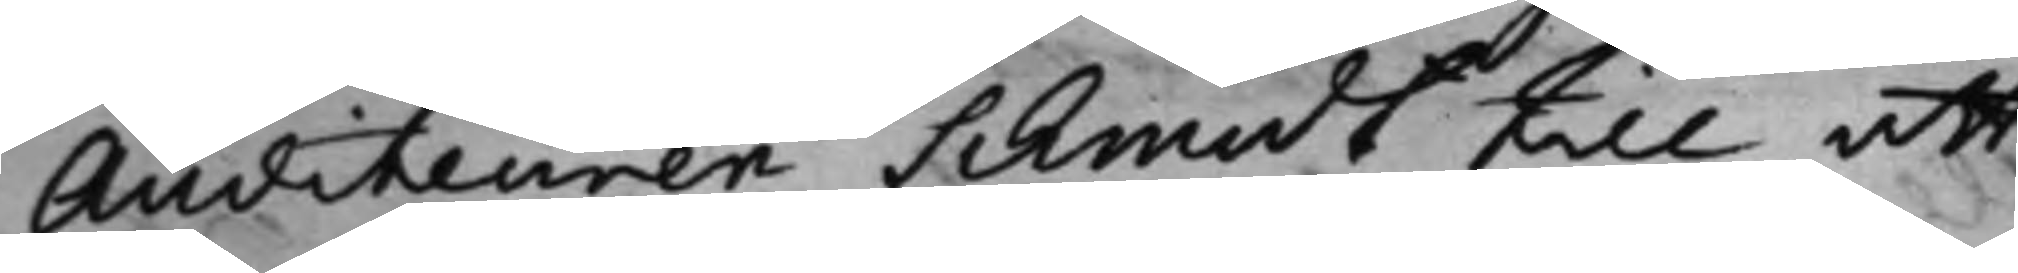Auditeuren Schmidt till att
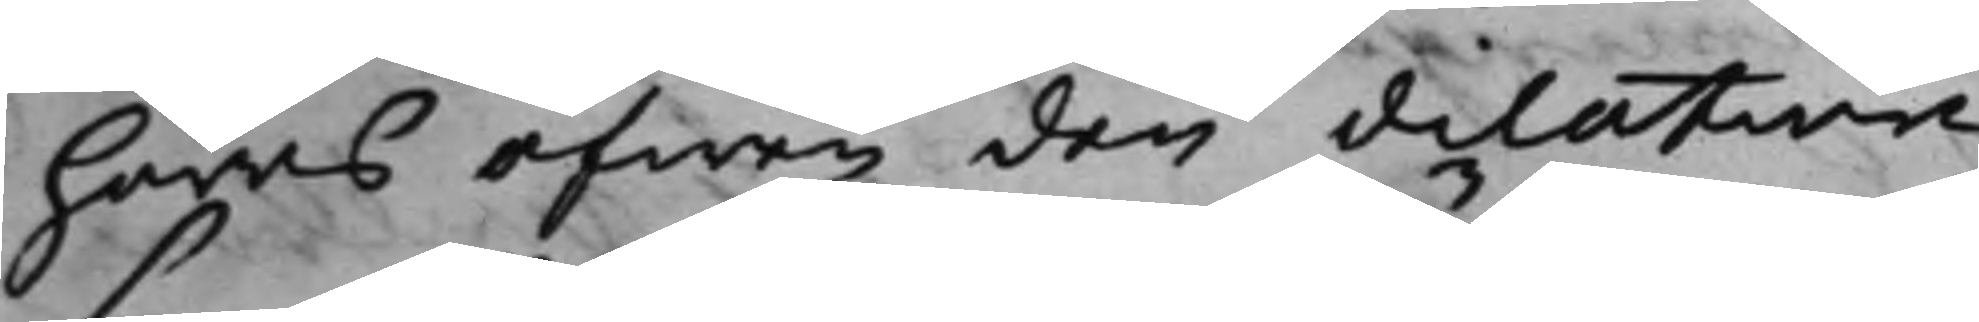höras öfwer den dilation,
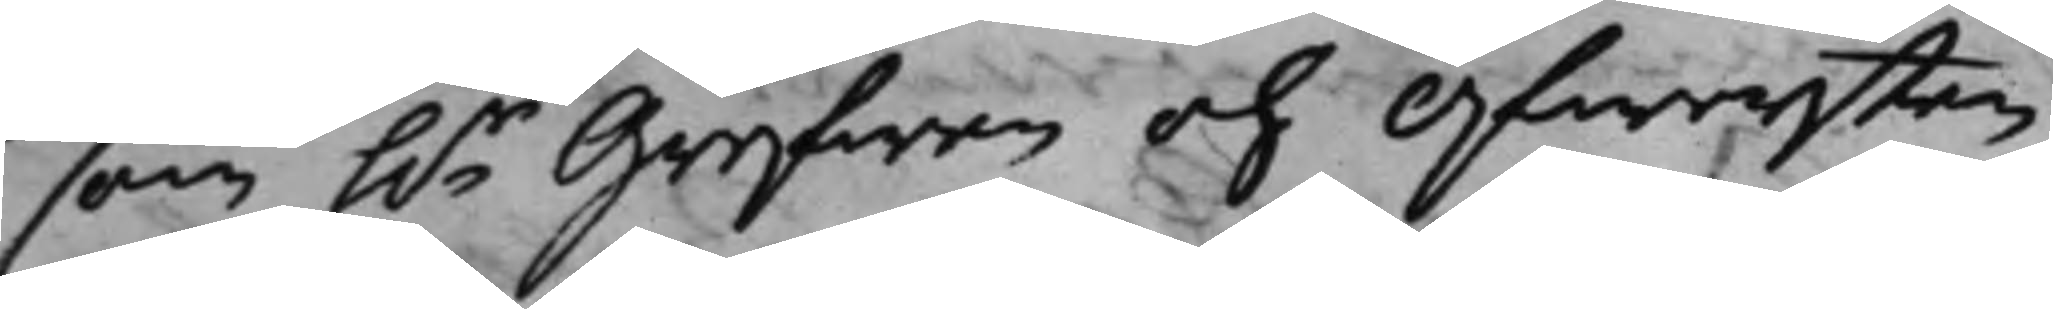som h.r Grefwen och Öfwersten
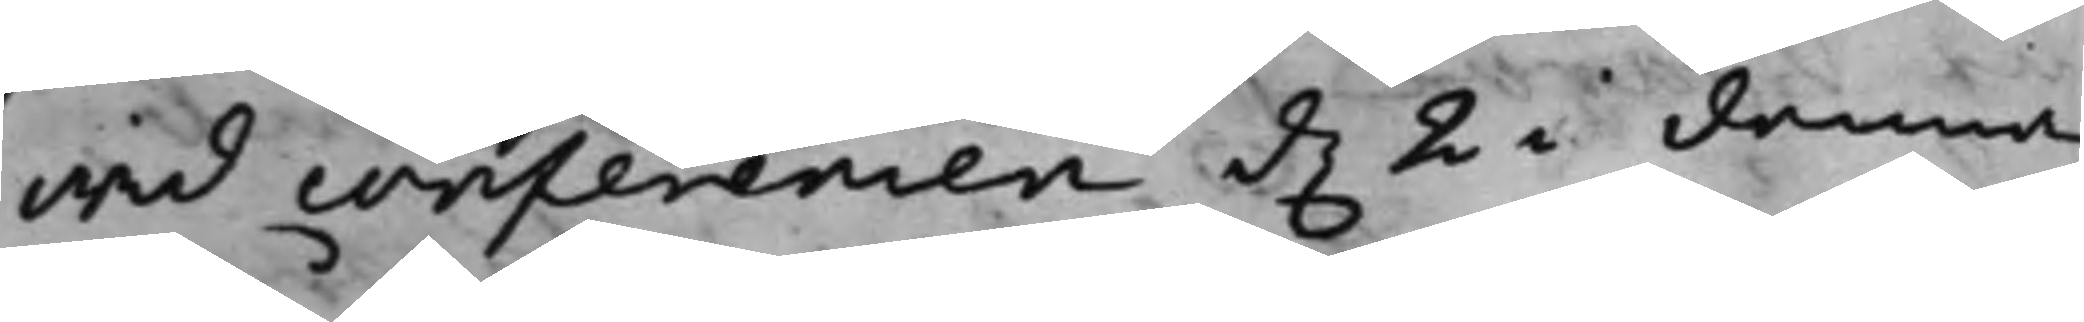wid conferencen d. 2 i denna
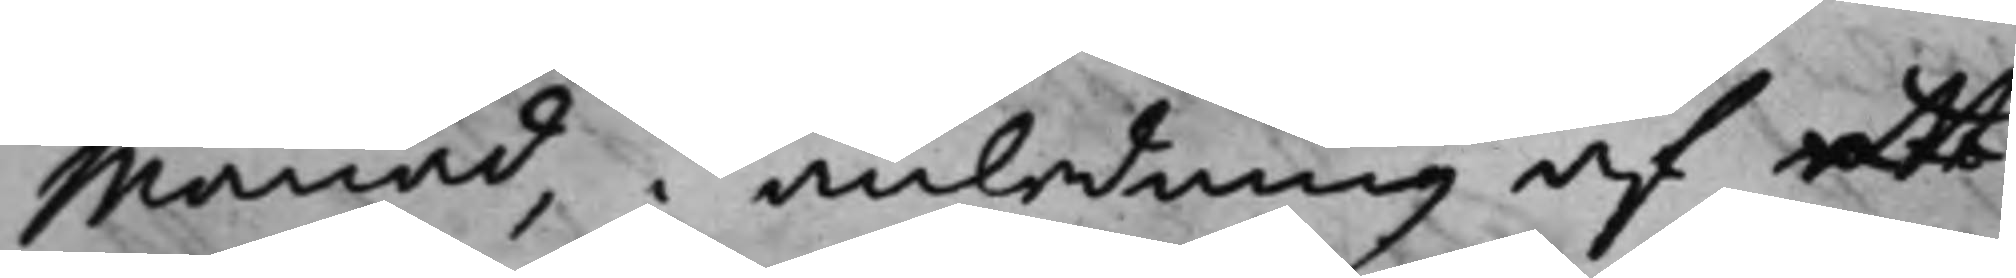Månad, i anledning af ett
